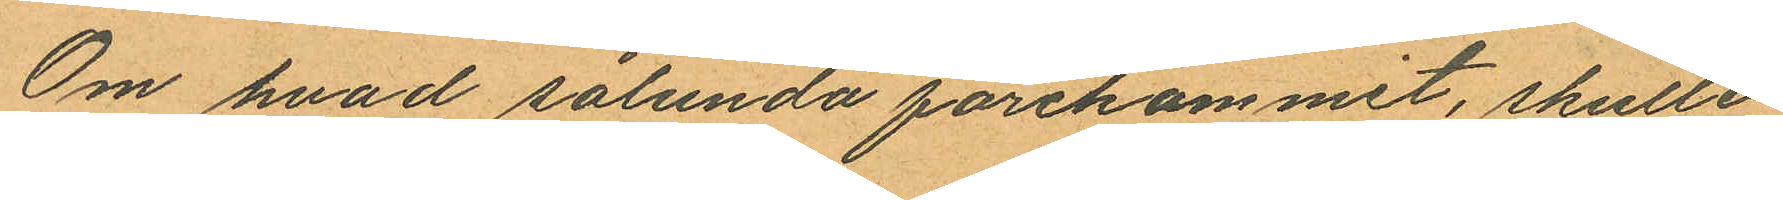Om hvad sålunda förekommit, skulle
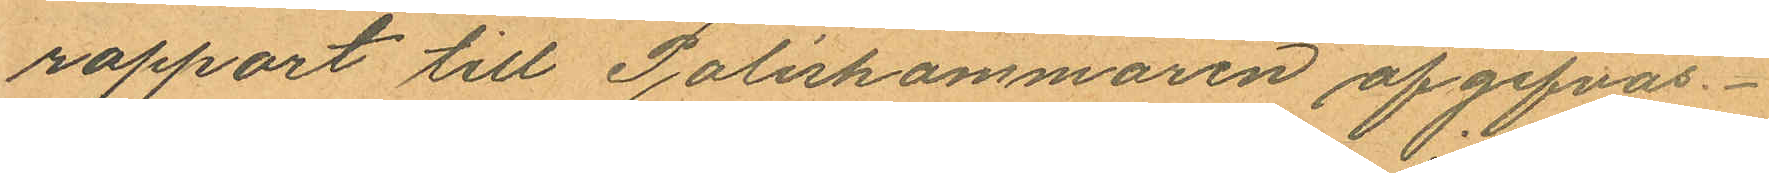rapport till Poliskammaren afgifvas.
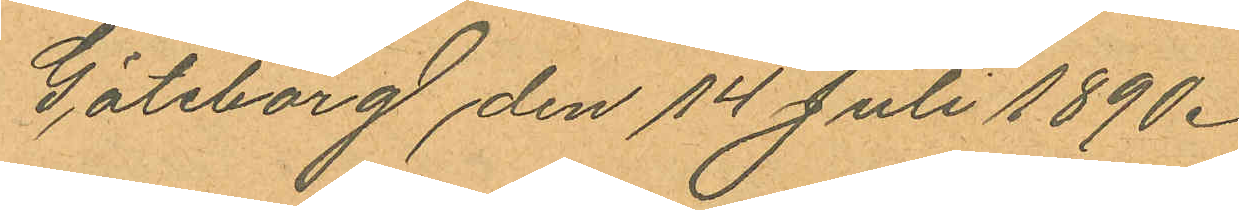Göteborg den 14 Juli 1890.
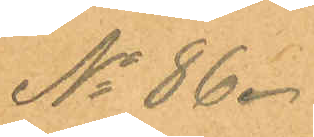No 86.
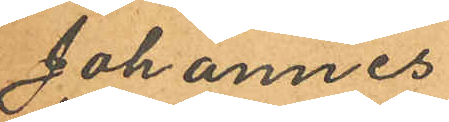Johannes
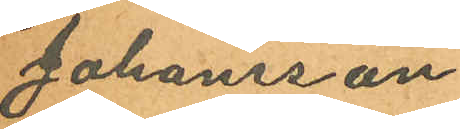Johansson
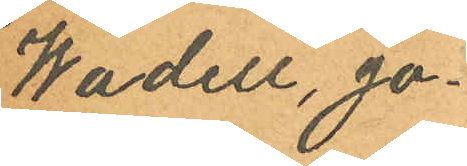Wadell, Jo¬
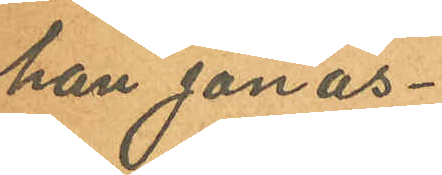han Jonas¬
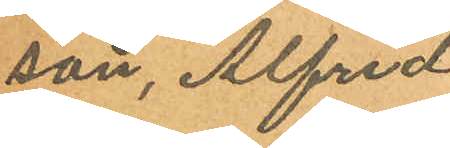son, Alfred
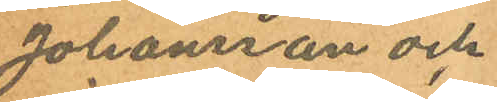Johansson och
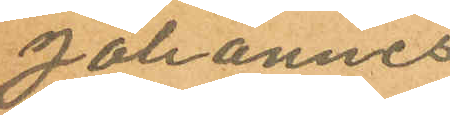Johannes
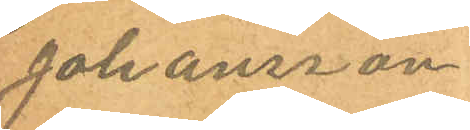Johansson
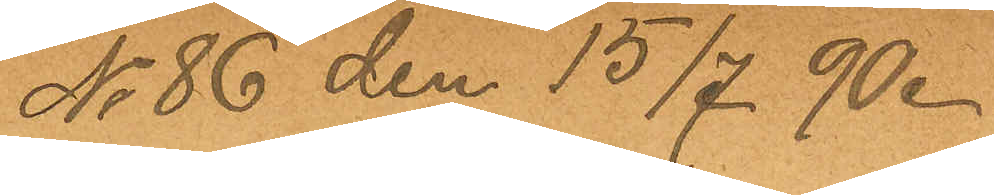No 86 den 15/7 90.
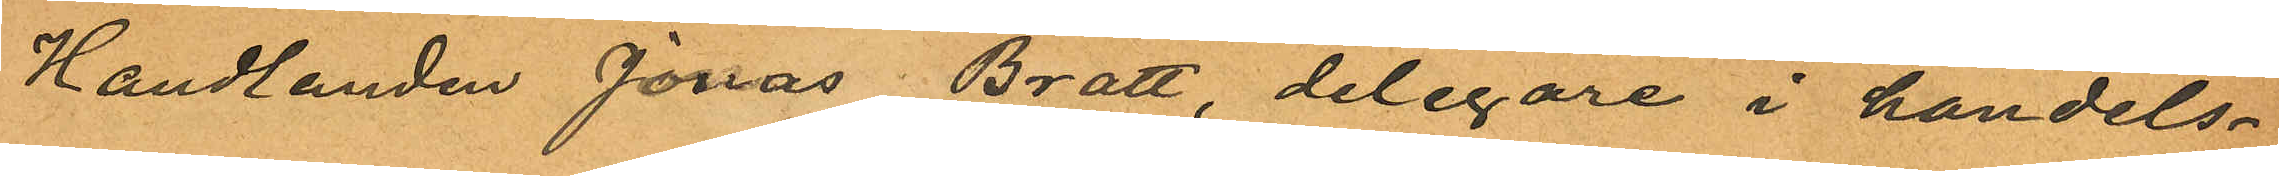Handlanden Jonas Bratt, delegare i handels¬
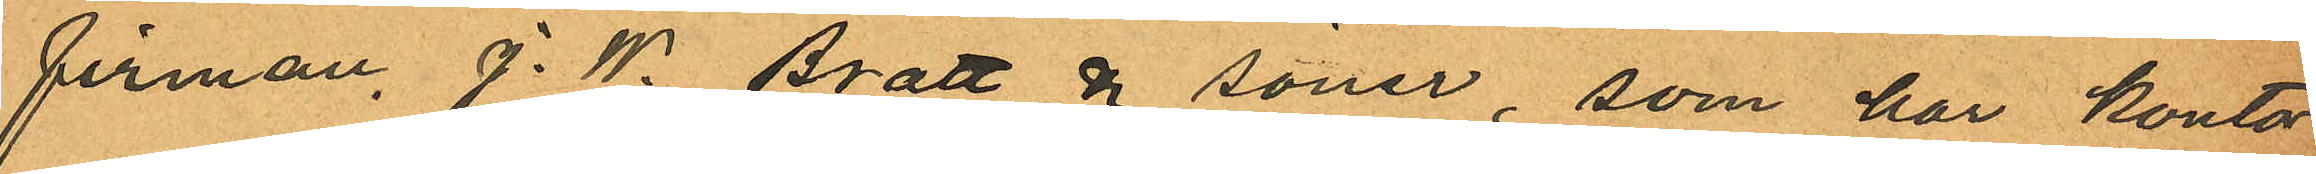firman, J. W. Bratt & söner, som har kontor
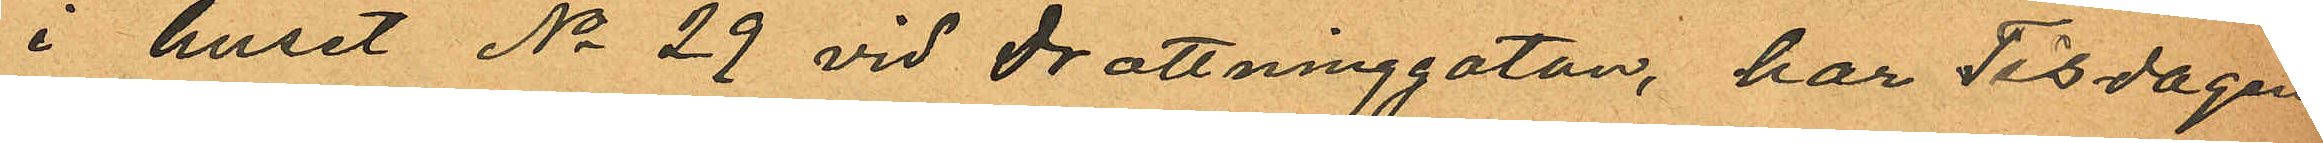i huset No 29 vid Drottninggatan, har Tisdagen
